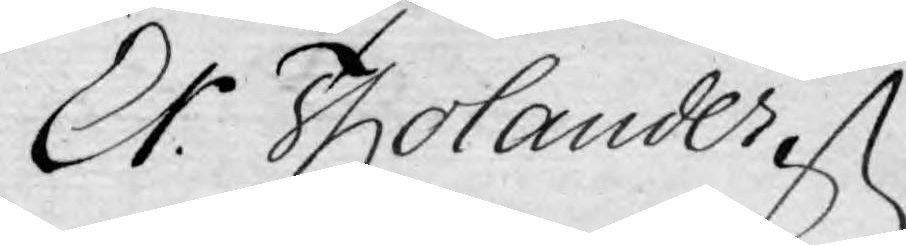Cr: Tholander
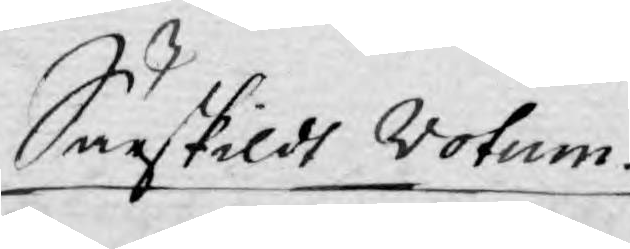Särskildt votum.
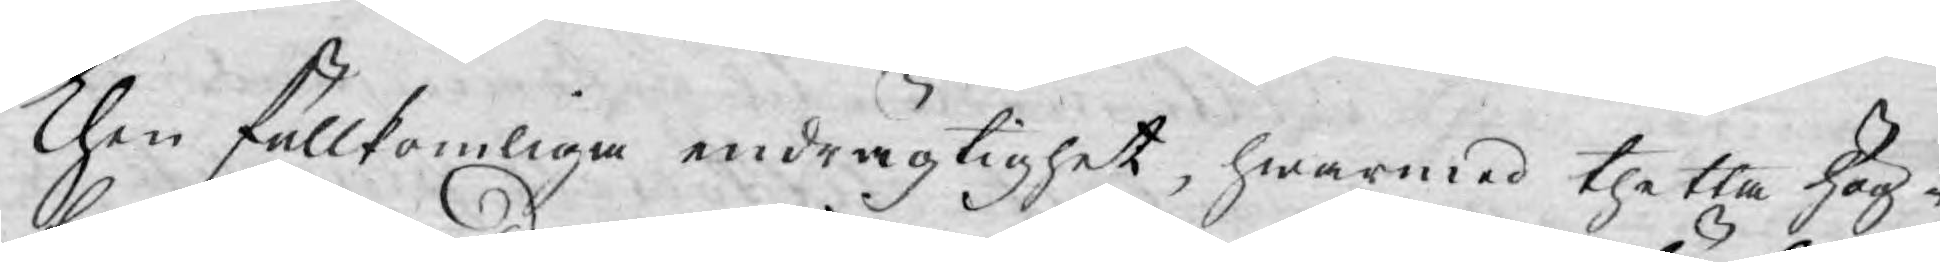Then fullkomliga endrägtighet, hwarmed thetta hög¬
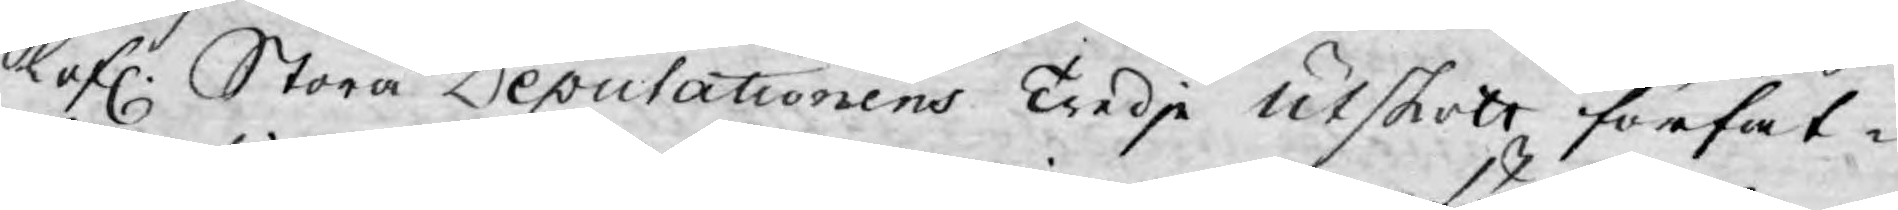lofl: Stora Deputationens Tredje utskott förfat¬
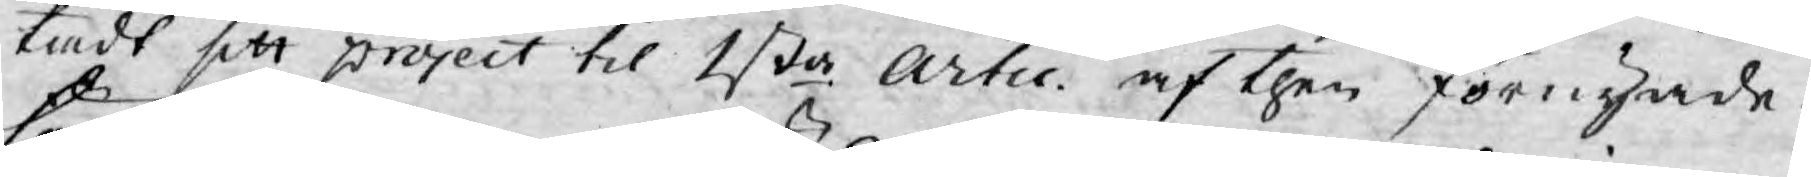tadt sitt project til 1sta Artic. af then förnyade
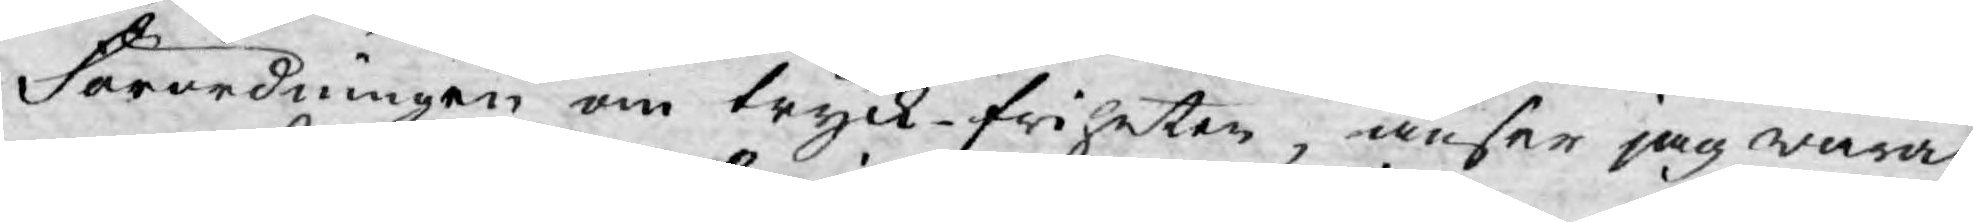Förordningen om tryck-friheten, anser jag wara
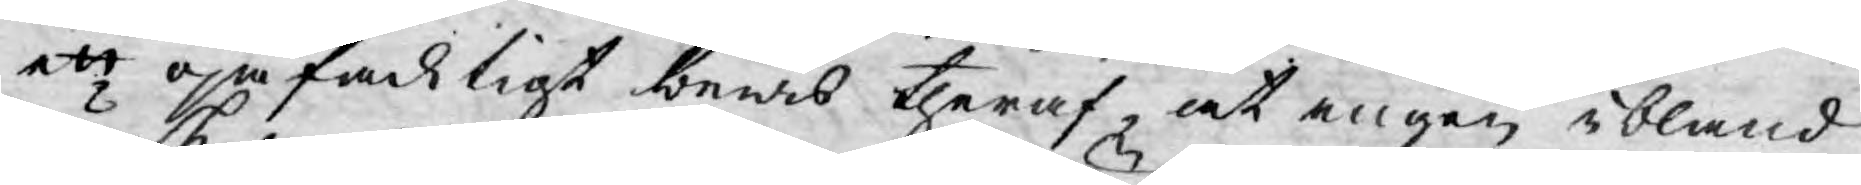ett ojäfadligt bewis theraf, at ingen ibland
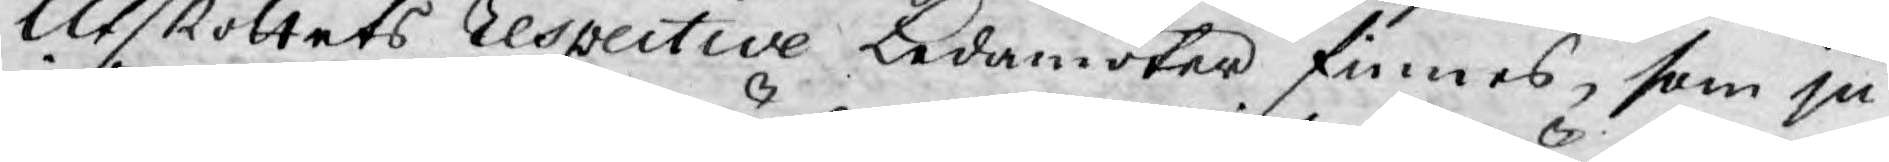Utskottets Respective Ledamöter finnes, som ju
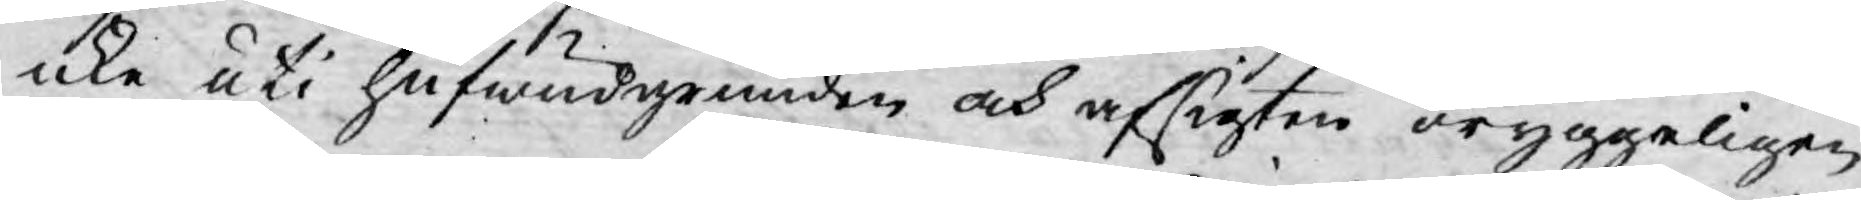icke uti hufwudgrunden och afsigten oryggeligen
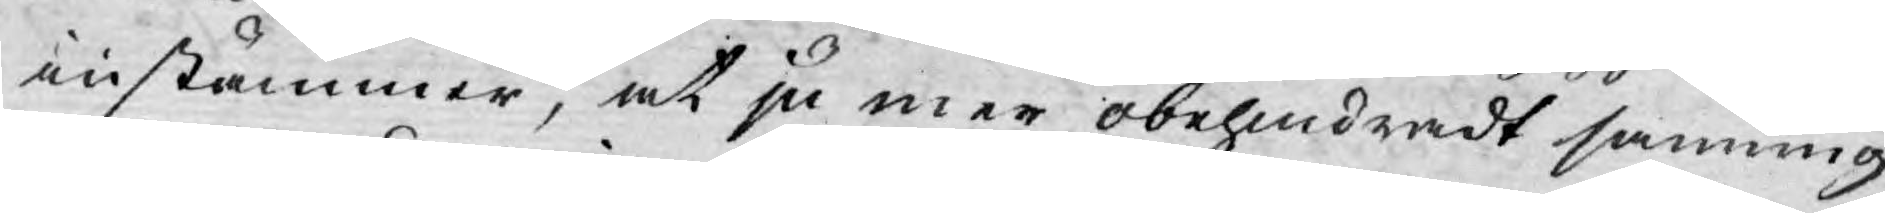instämmer, at ju mer obehindradt sanning
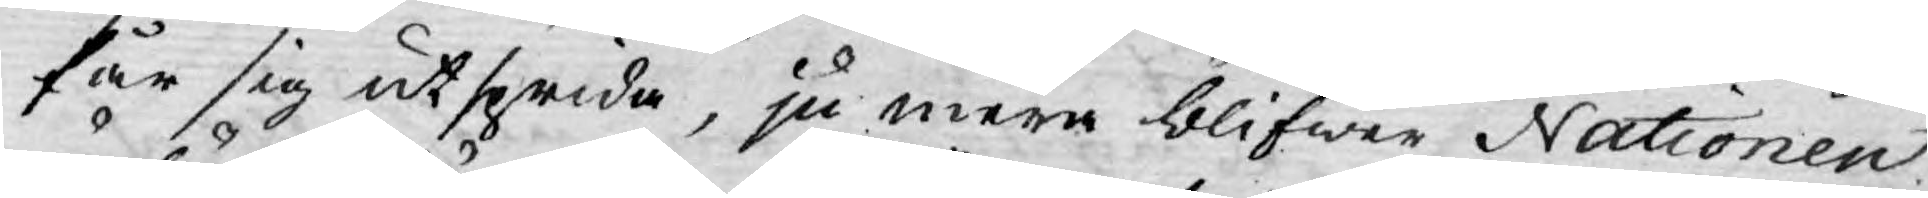får sig utsprida, ju mera blifwer Nationen
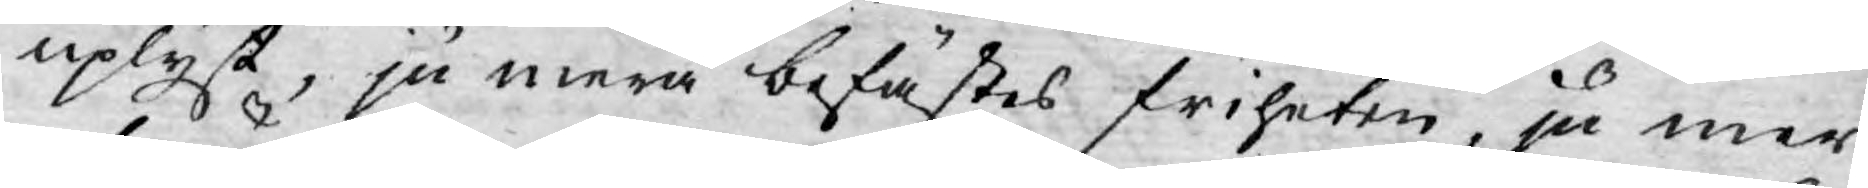uplyst, ju mera befästes friheten, ju mer
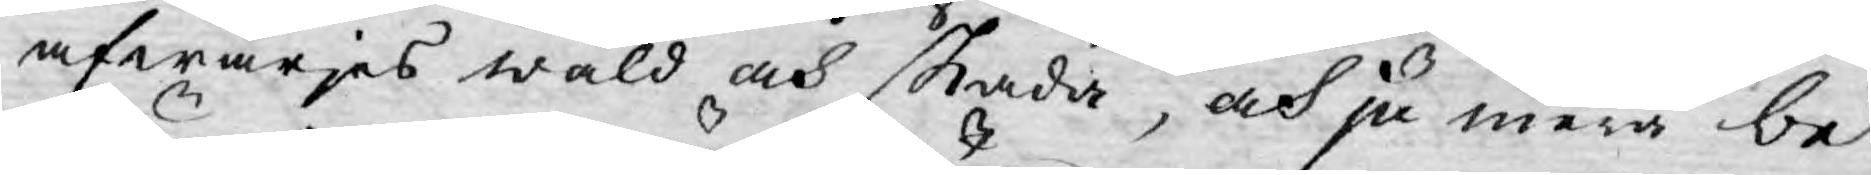afwärjes wåld och skada, och ju mera be¬
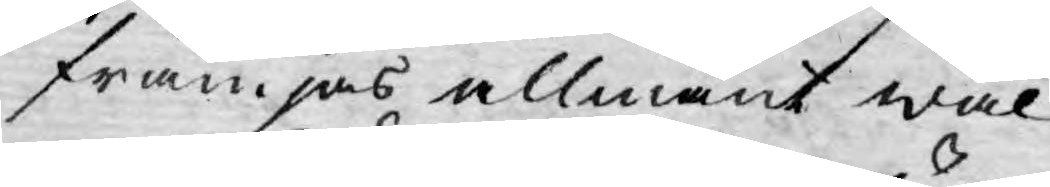främjas allmänt wäl.
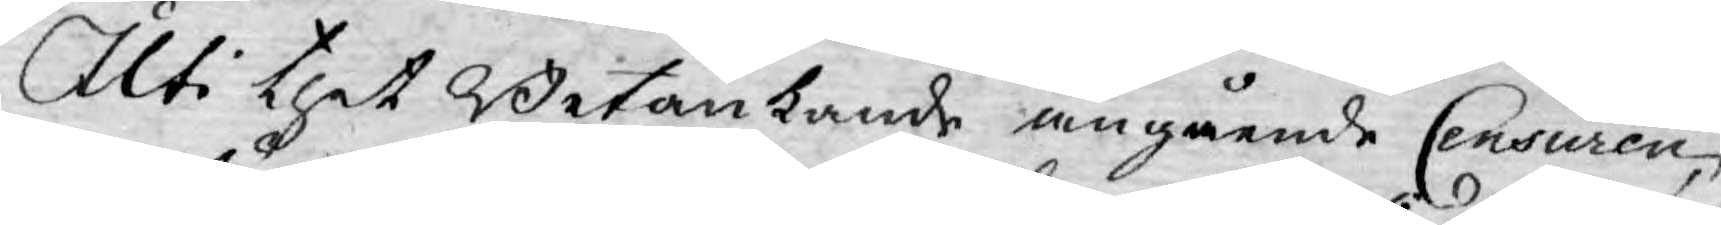Uti thet Betänkande angående Censuren,
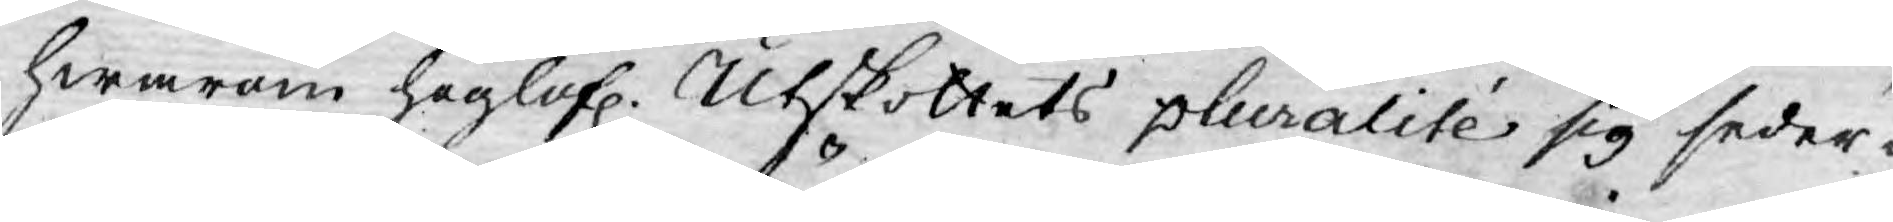hwarom höglofl. Utskottets pluralité sig seder¬
